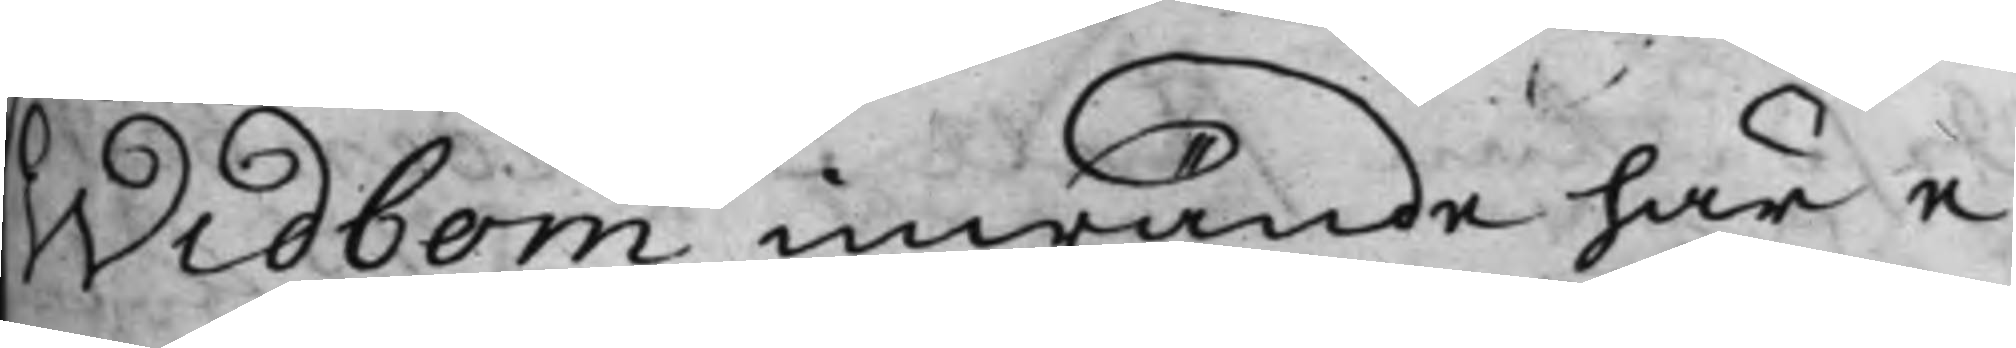Widbom inwände här e¬
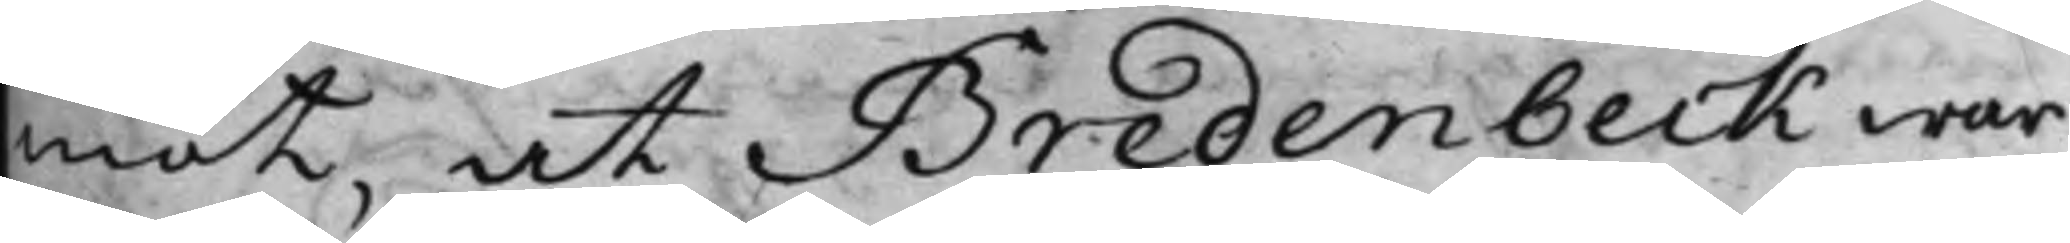mot, at Bredenbeck war
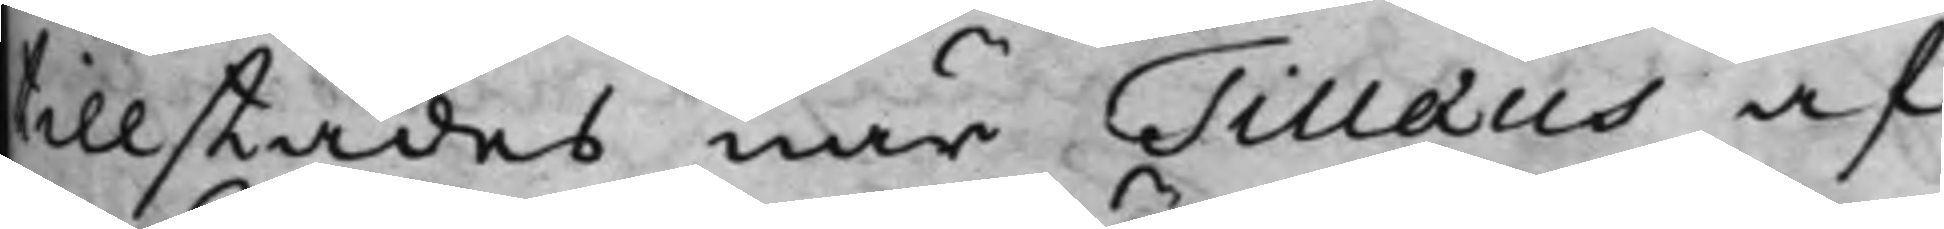tillstädes, när Tillæus af¬
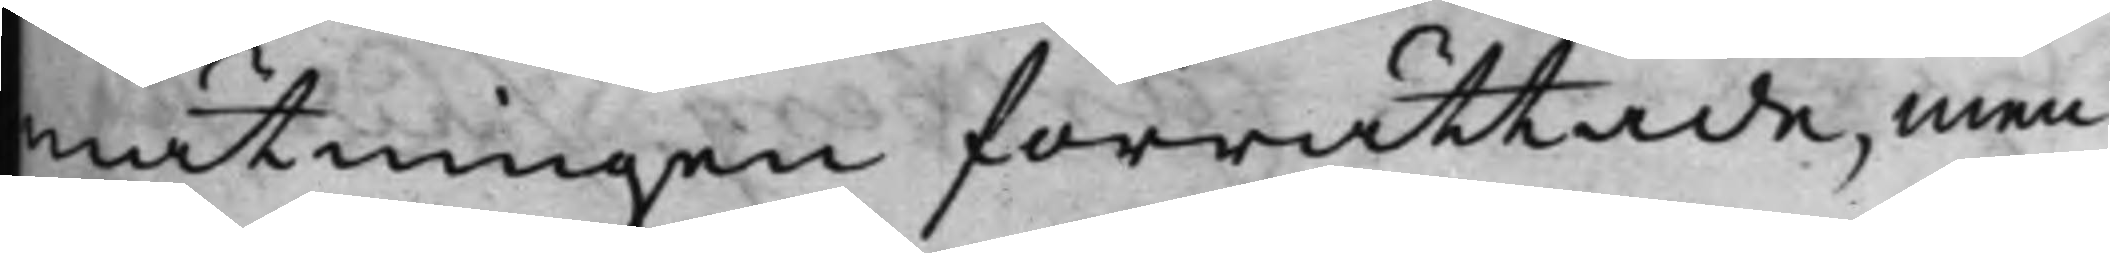mätningen förrättade, men
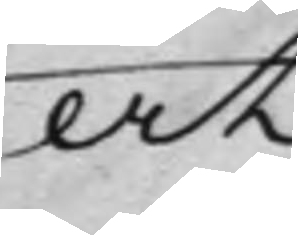at
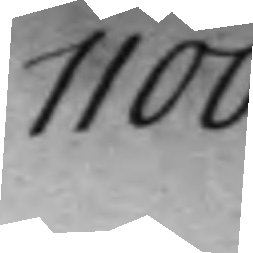1100
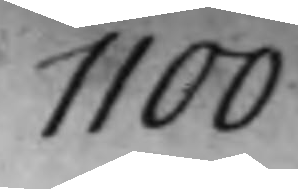1100.
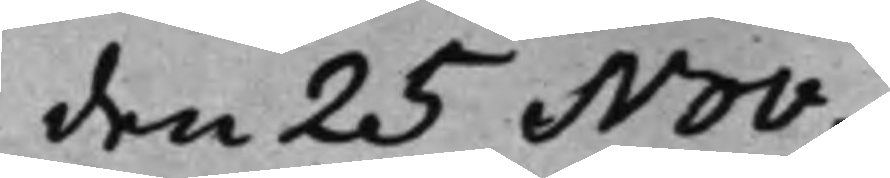den 25 Nov. 
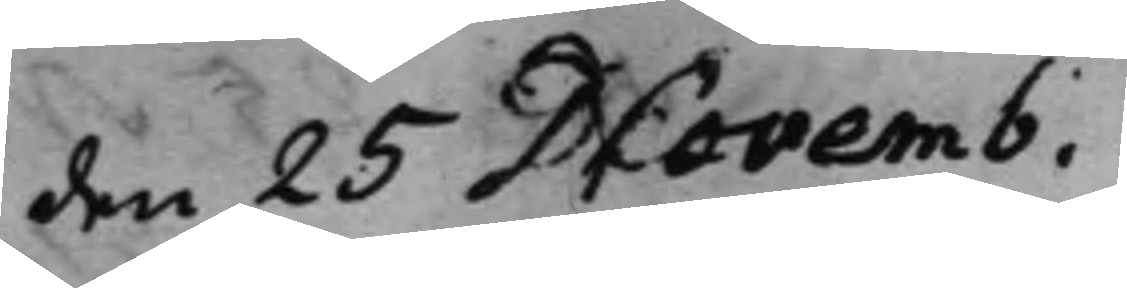den 25 Novemb. 
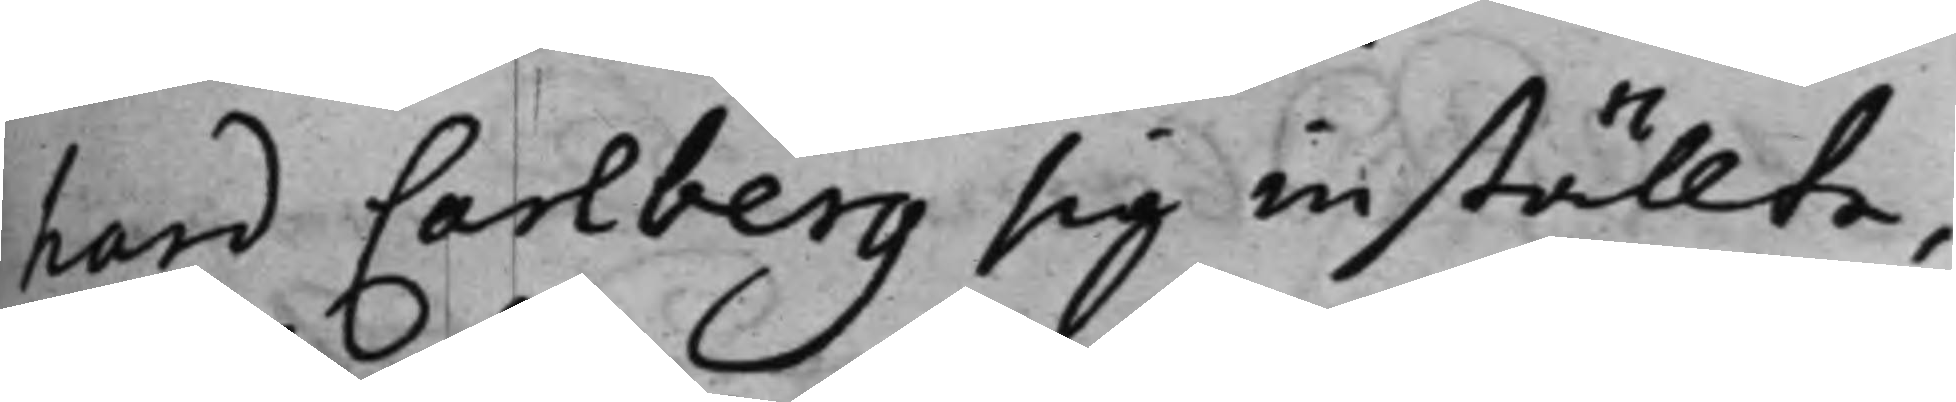hard Carlberg sig inställte,
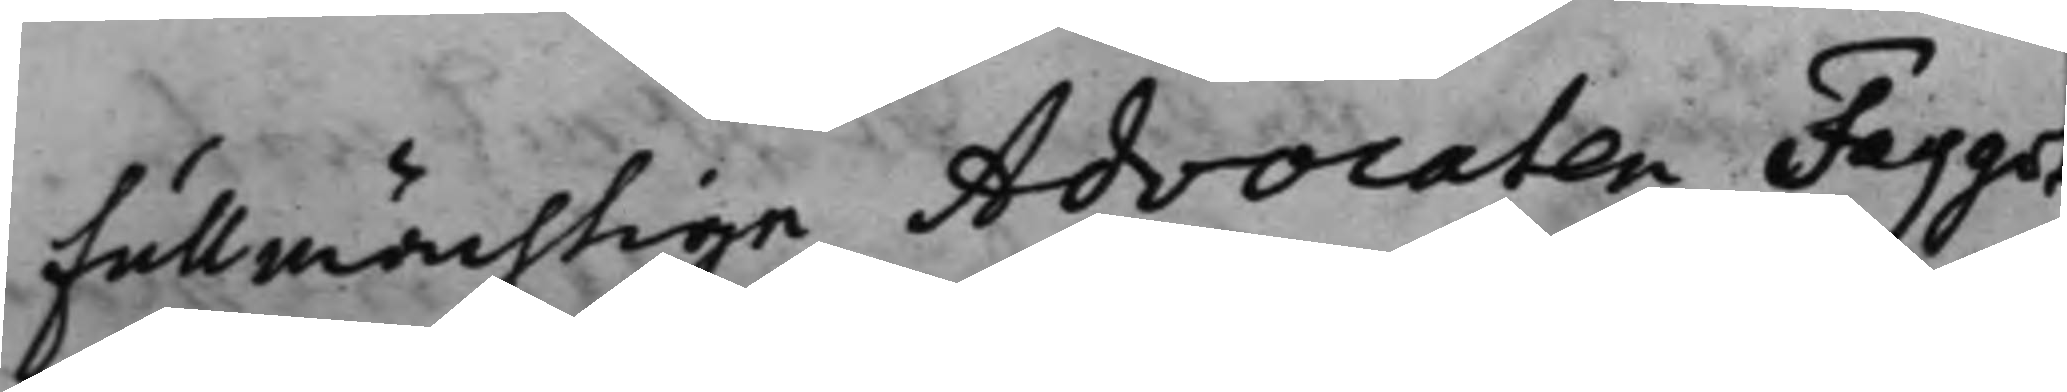Fullmächtige Advocaten Faggot¬
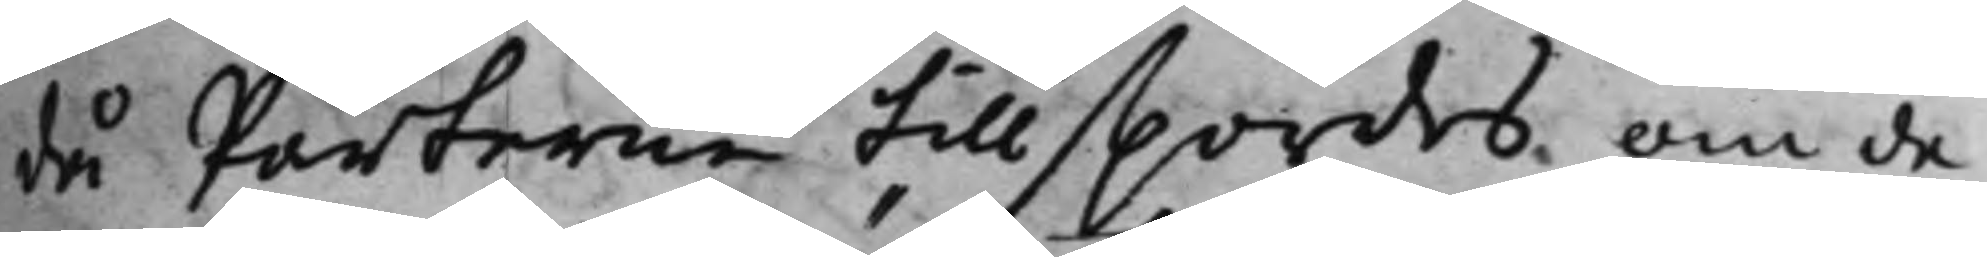då Parterne tillspordes, om de
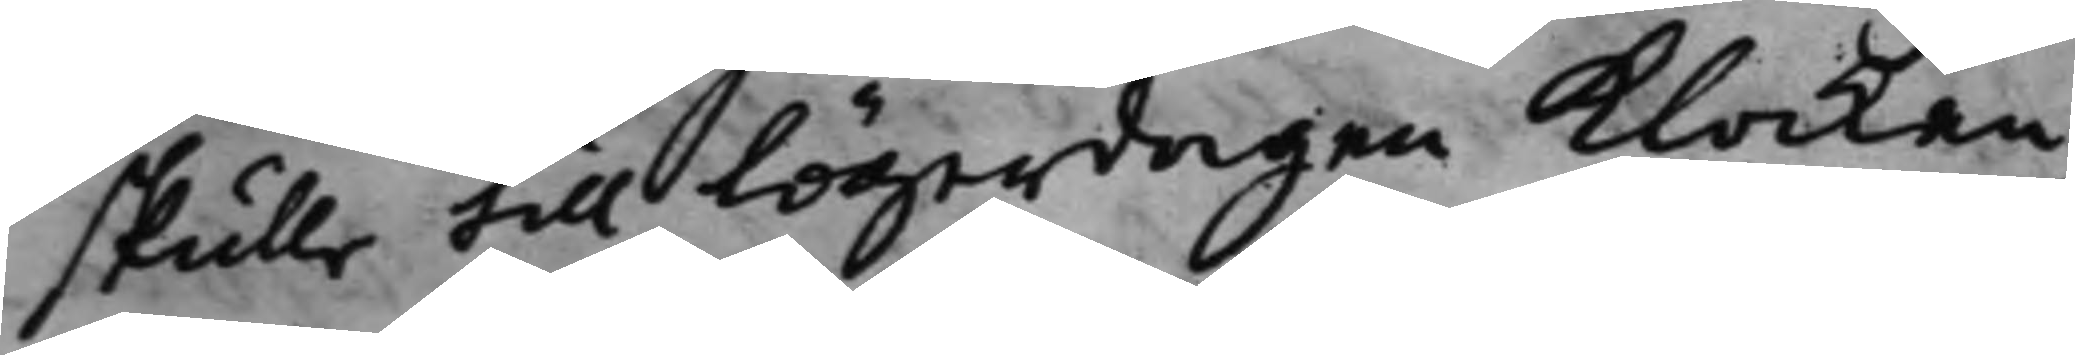skulle till Lögerdagen Klockan
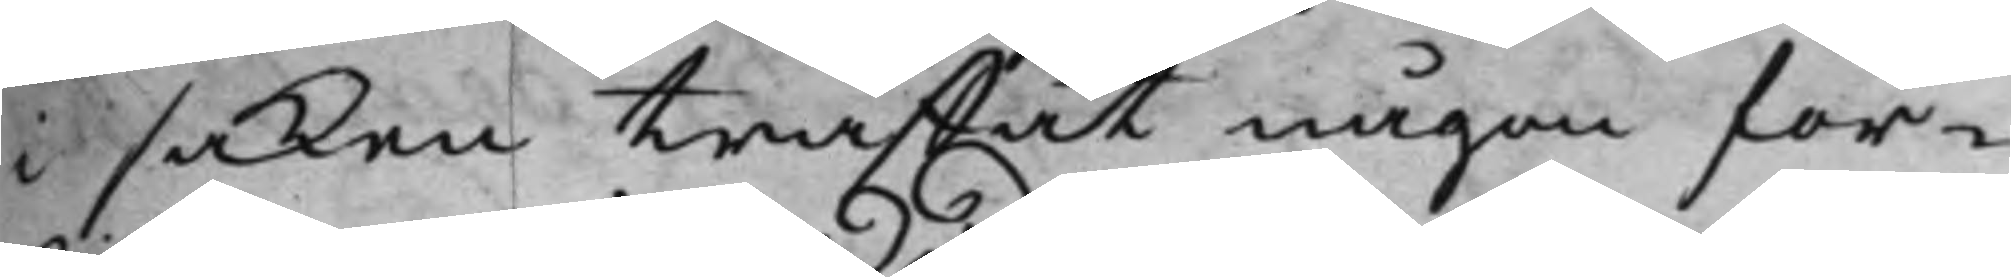i saken träffat någon för¬
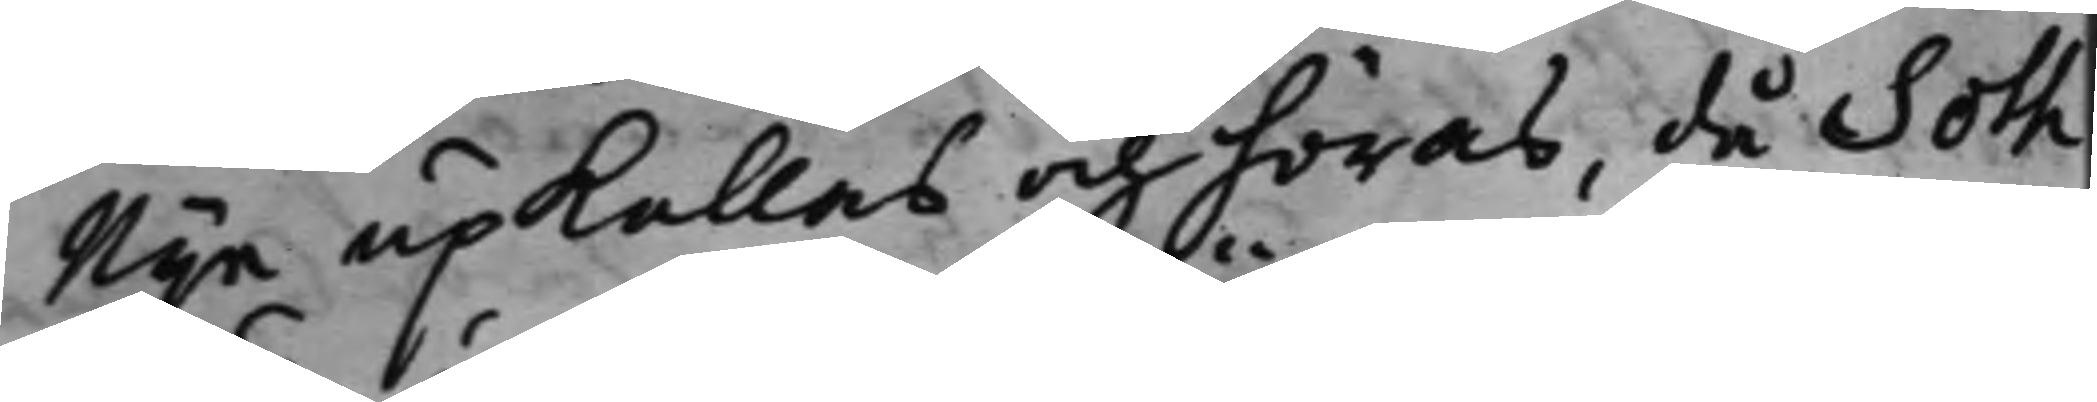Nije upkallas och höras, då Soth¬
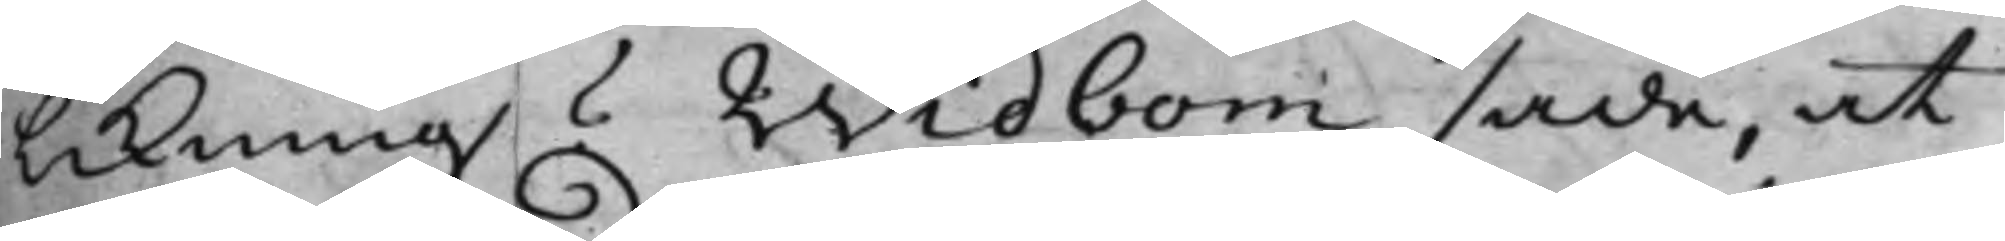likning Widbom sade, at
